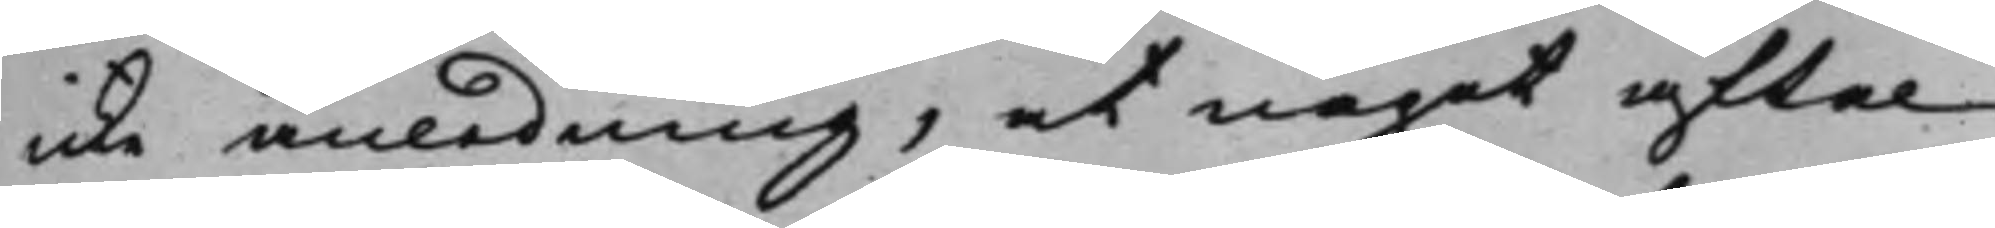icke anledning, at något aftal
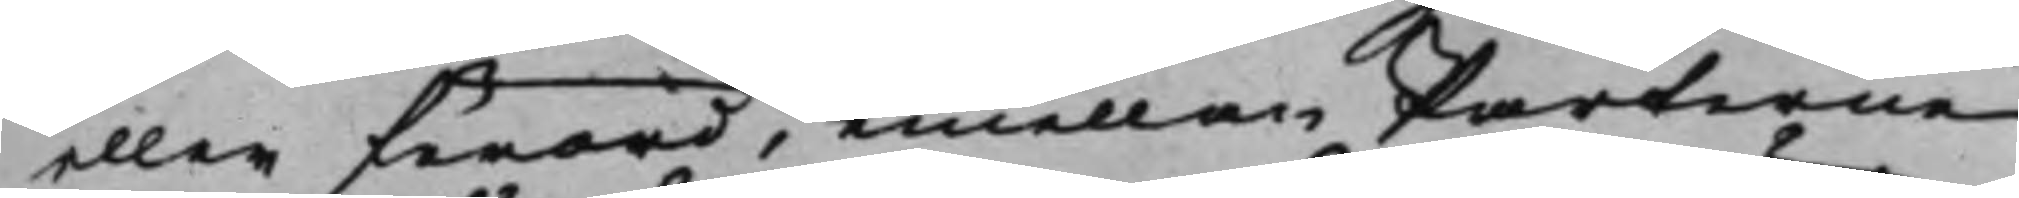eller förord, emellan Parterne
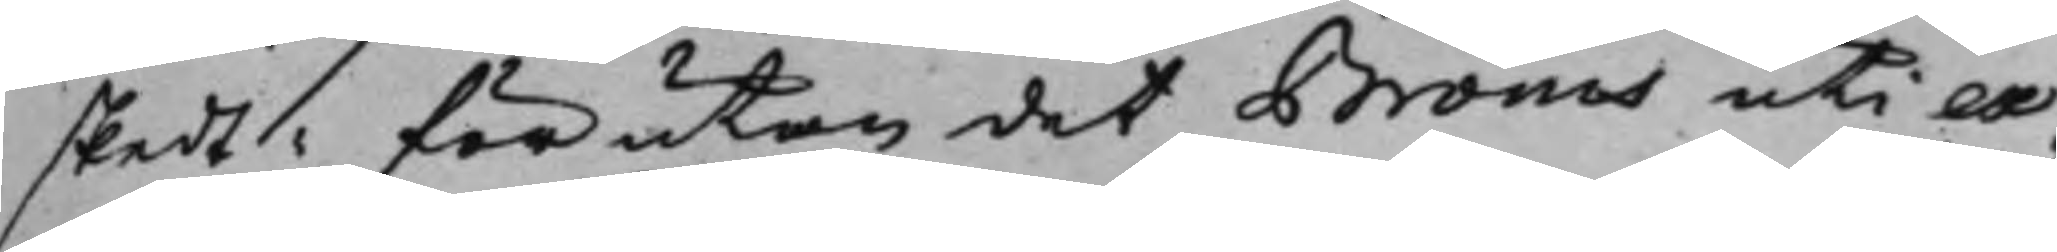skedt förutan det Bröms uti ex¬
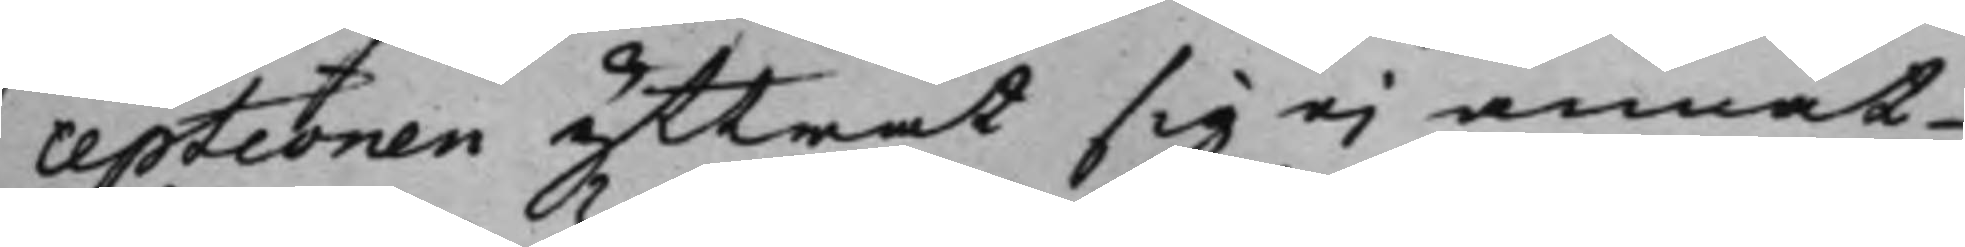ceptionen yttrat sig ei annat
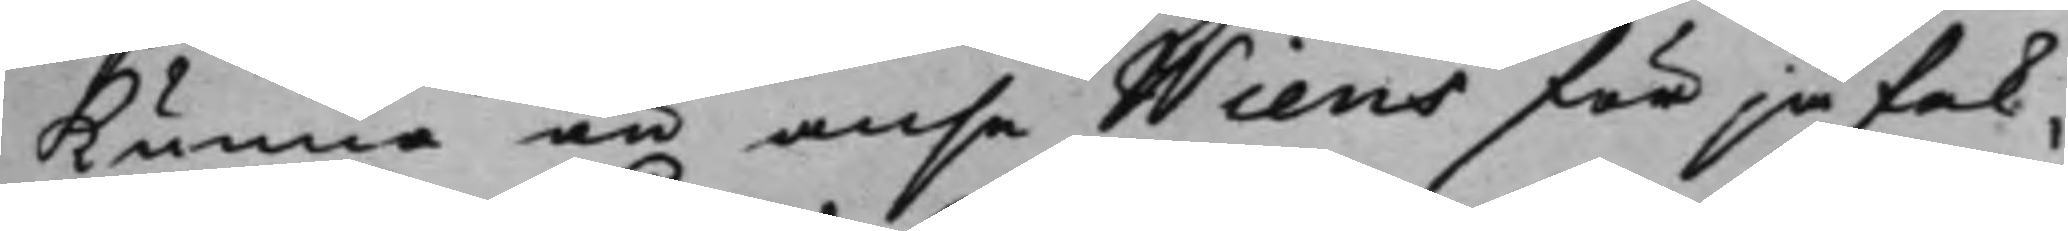kunna än anse Wiens för jäfak¬
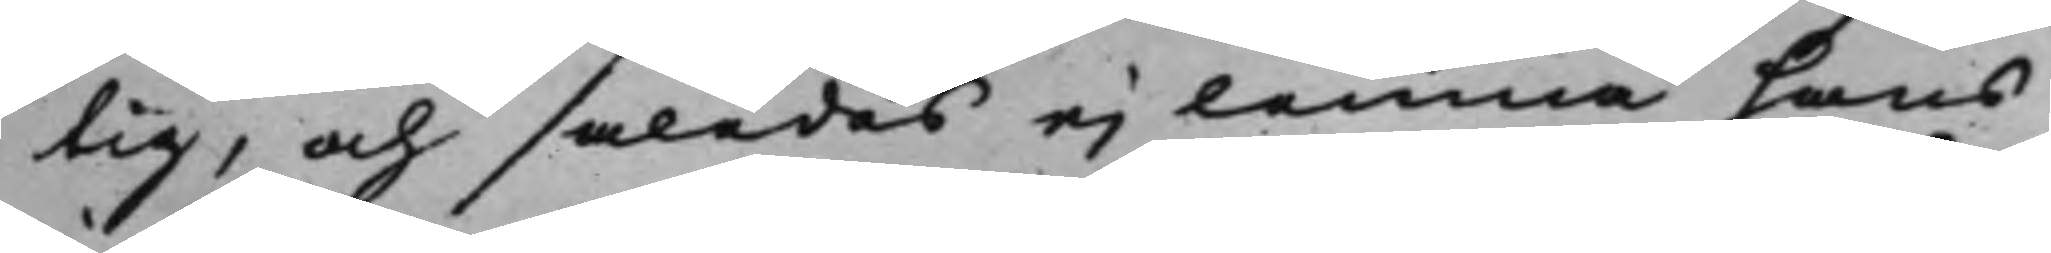tig, och således ej lemna hans
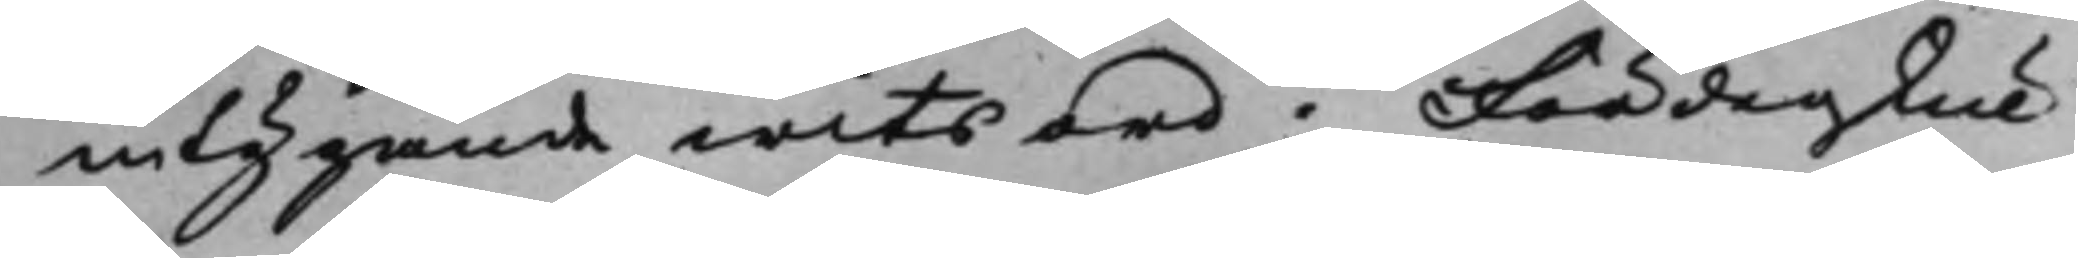intygande witsord; Fördenskul
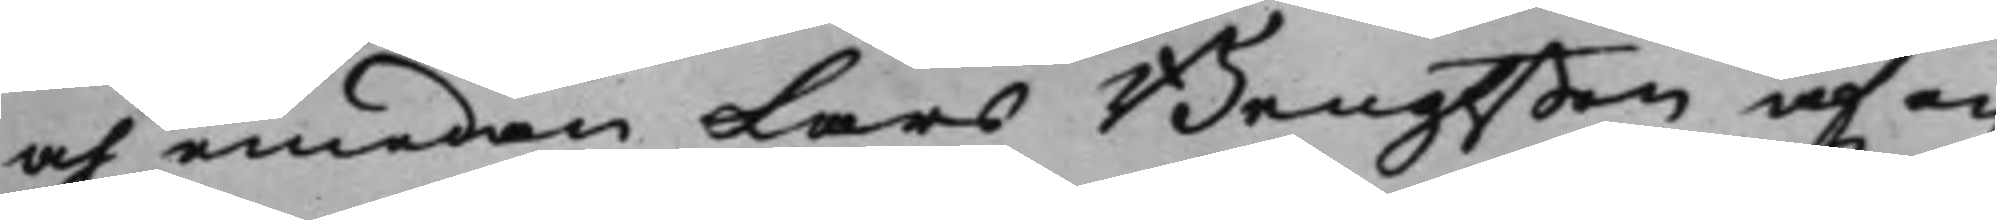och emedan Lars Bengtßon af en
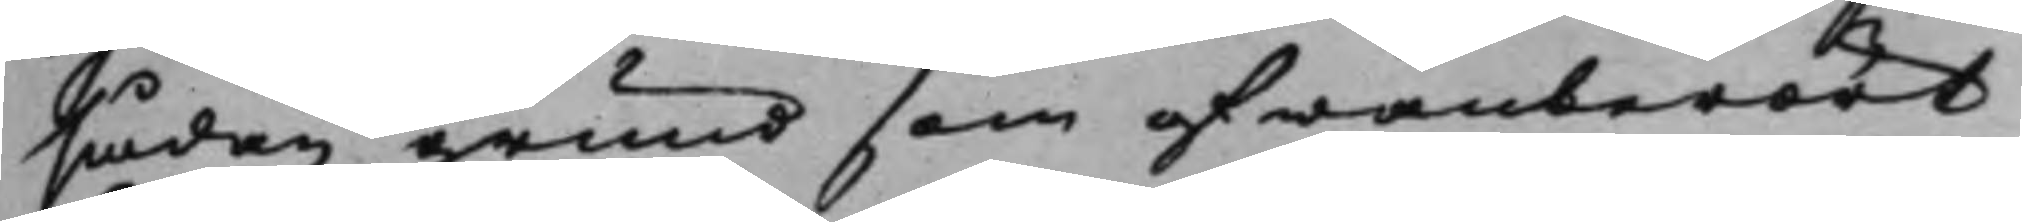sådan grund som ofwanberört
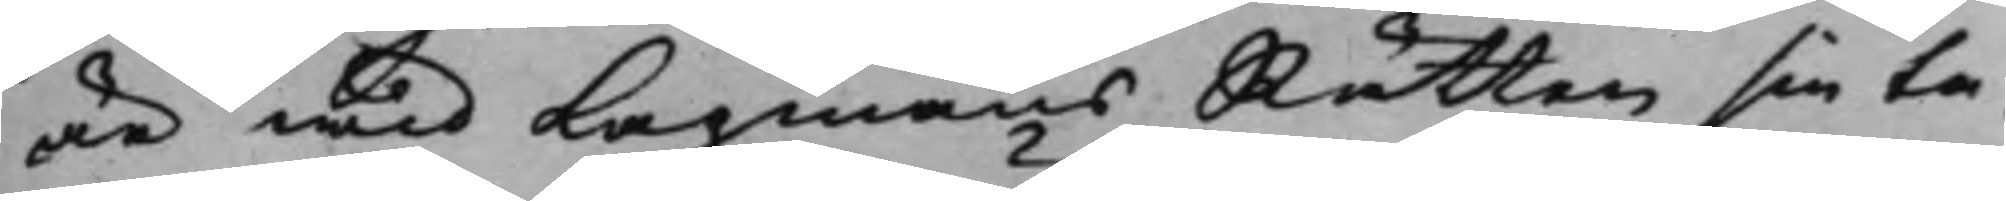är wid LagmansRätten sin ta¬
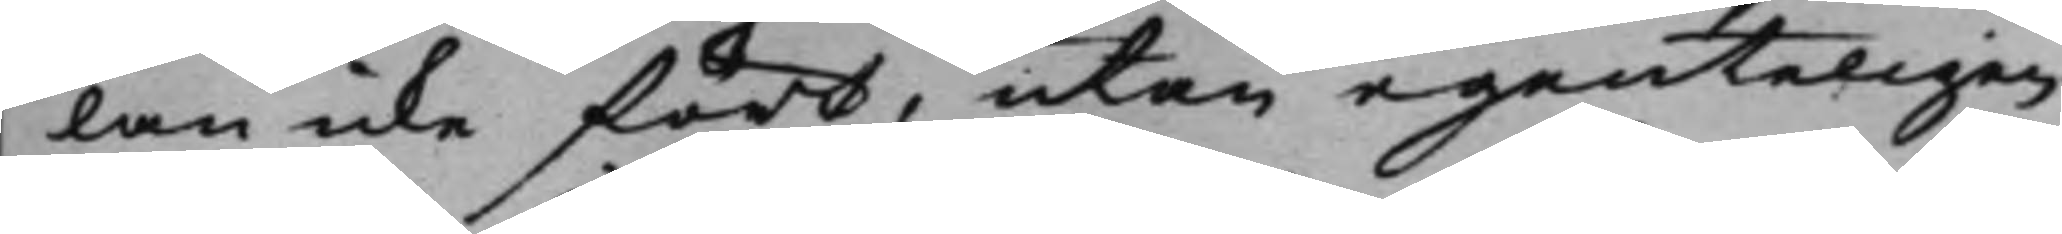lan icke fört, utan egenteligen
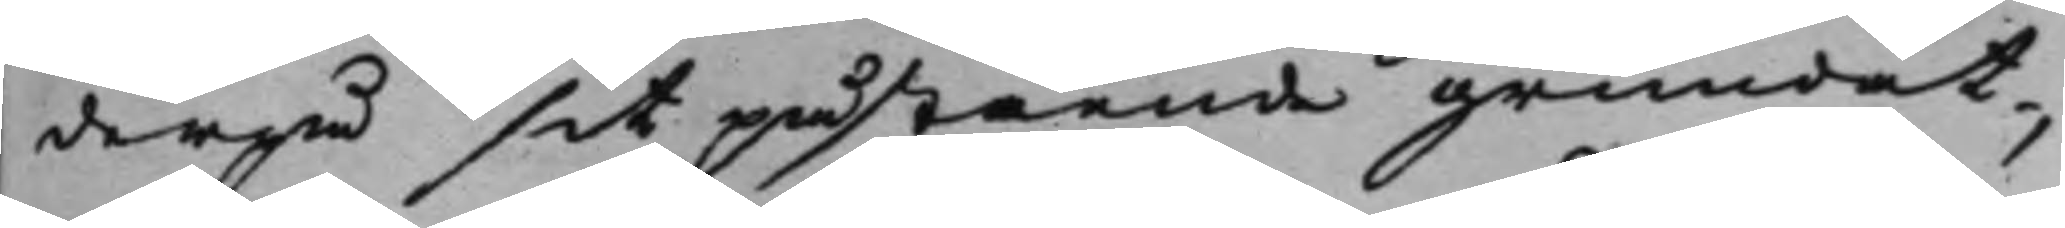derpå sit påstående grundat,
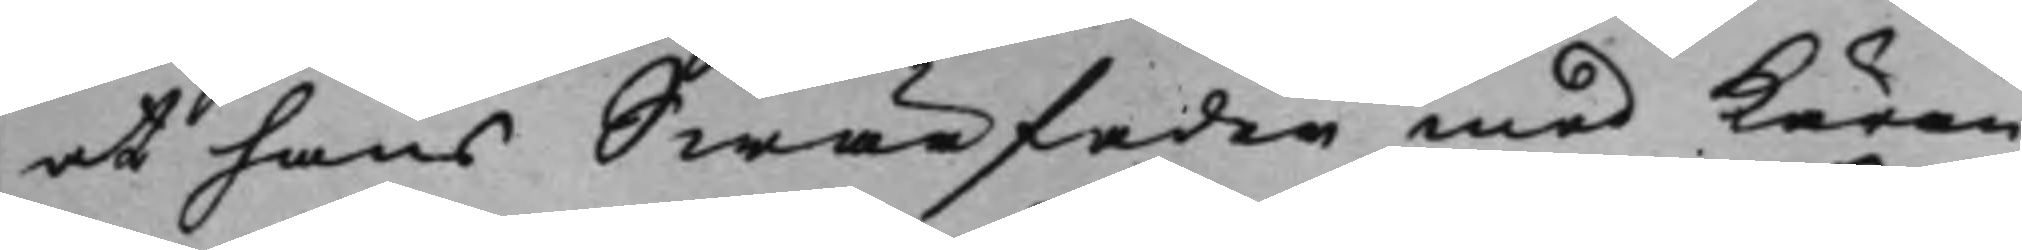at hans Swärfader med käran¬
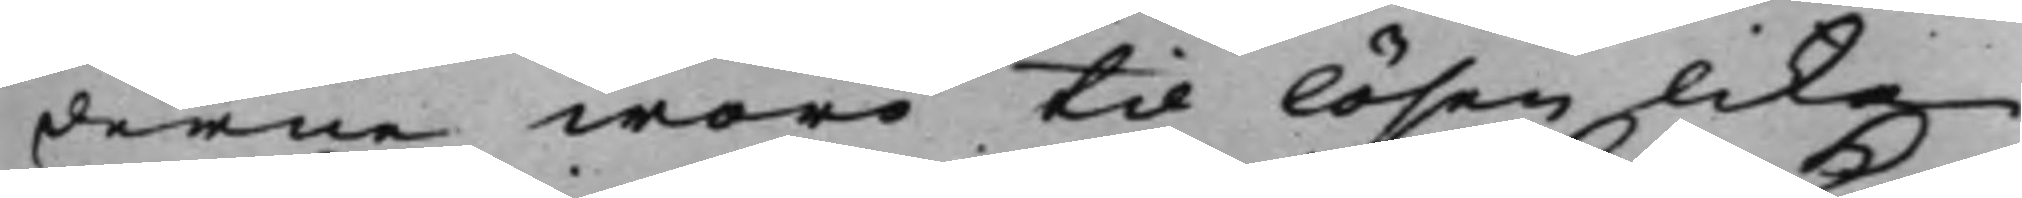derne woro til lösen lika
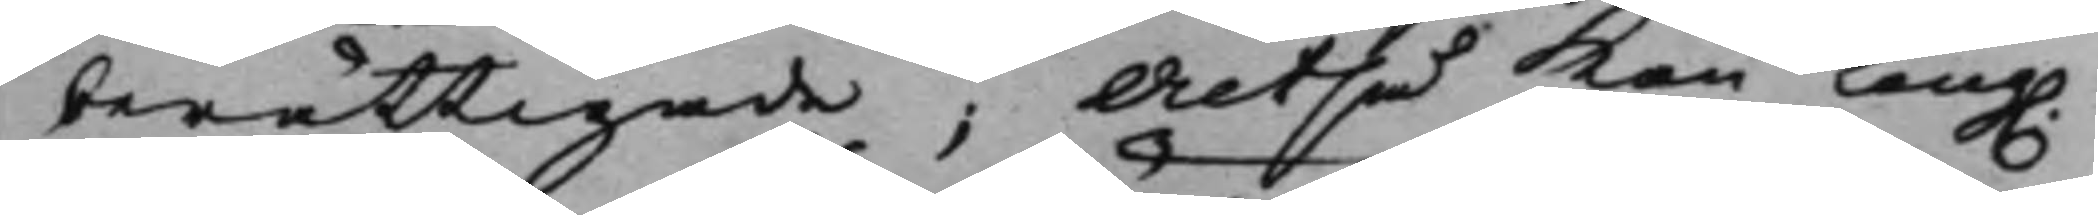berättigade; Altså kan Kong. 
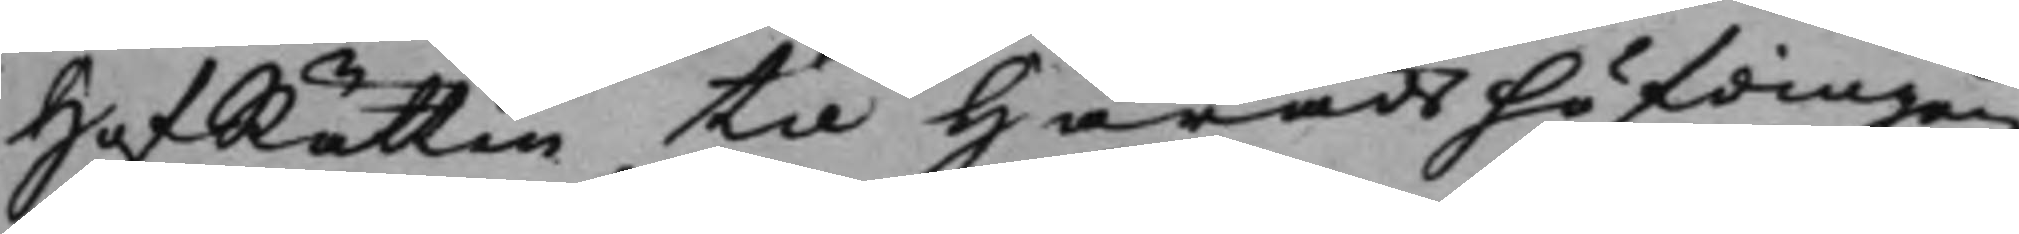HofRätten til Häradshöfdingen
